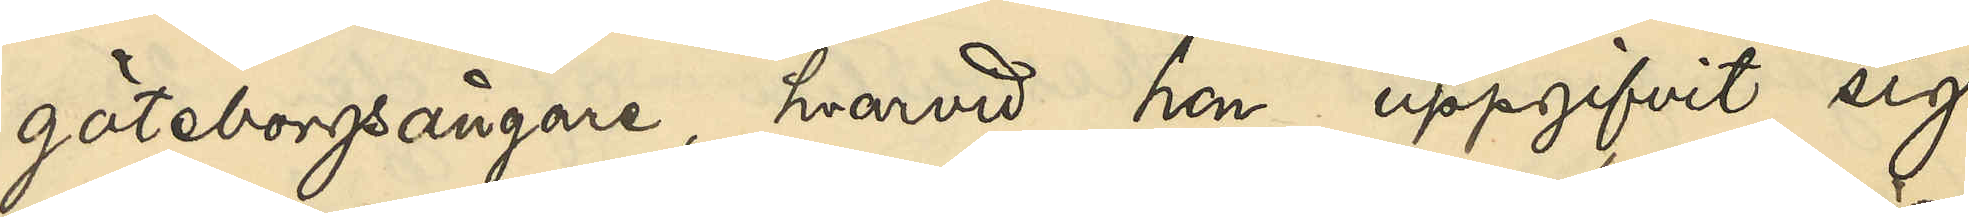göteborgsångare, hvarvid hon uppgifvit sig
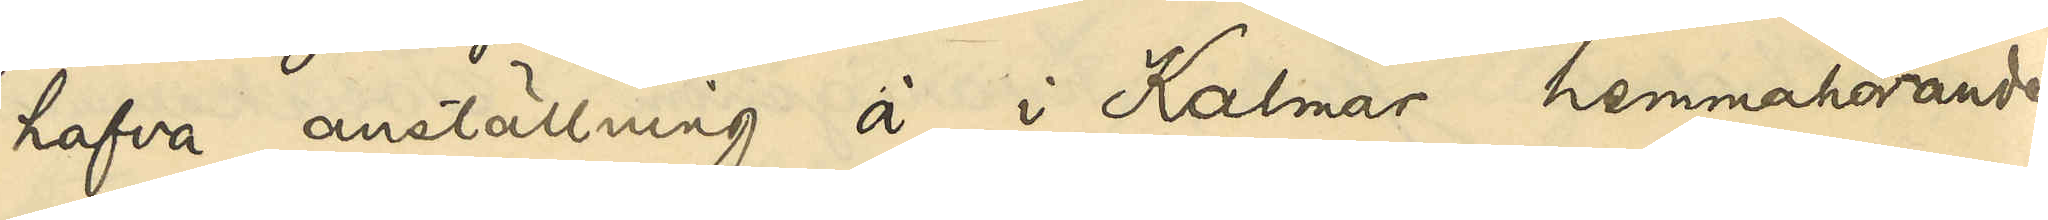hafva anställning å i Kalmar hemmahörande
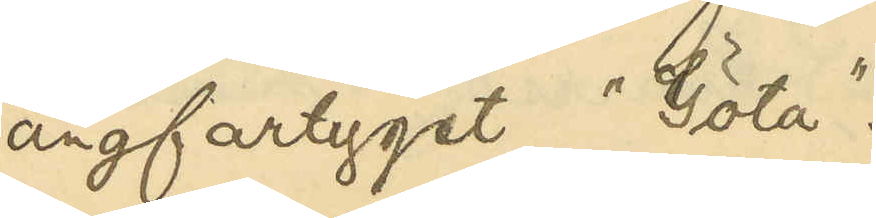ångfartyget "Göta".
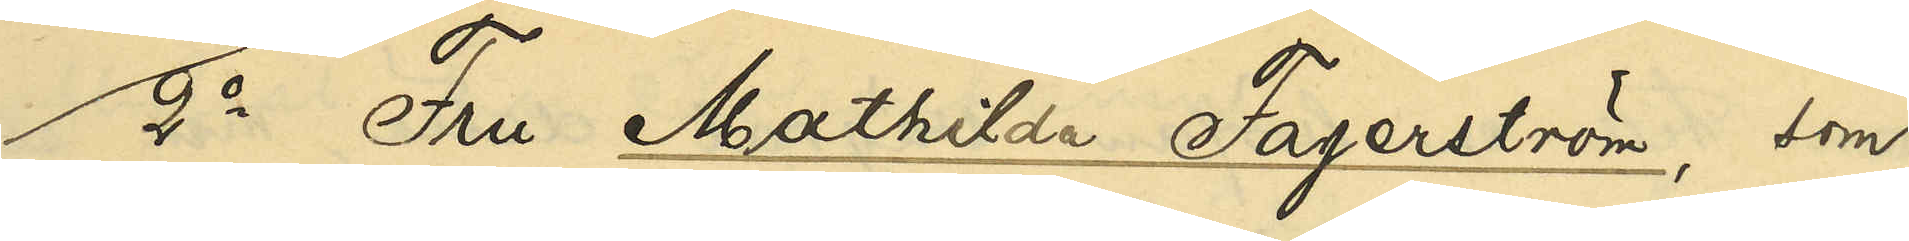2o Fru Mathilda Fagerström, som
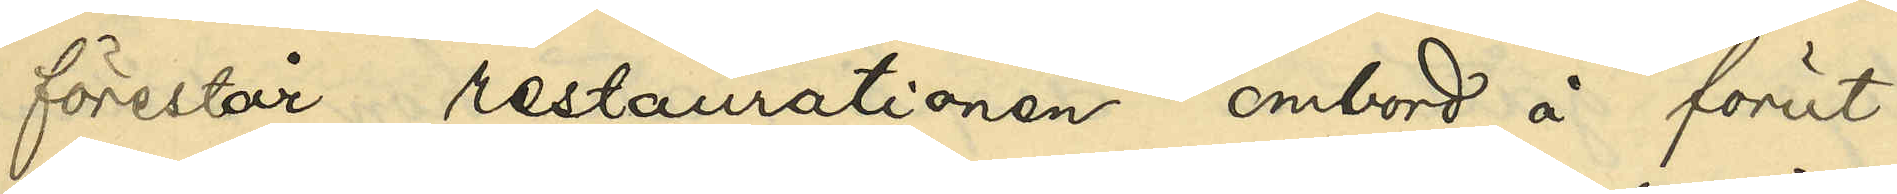förestår restaurationen ombord å förut¬
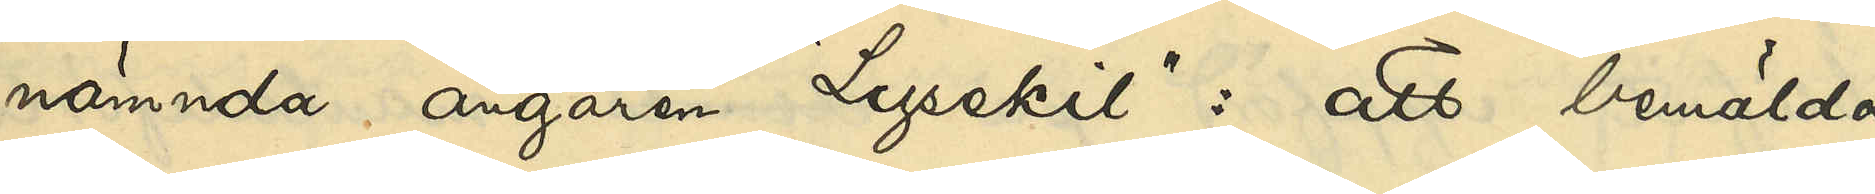nämnda ångaren "Lysekil": att bemälda
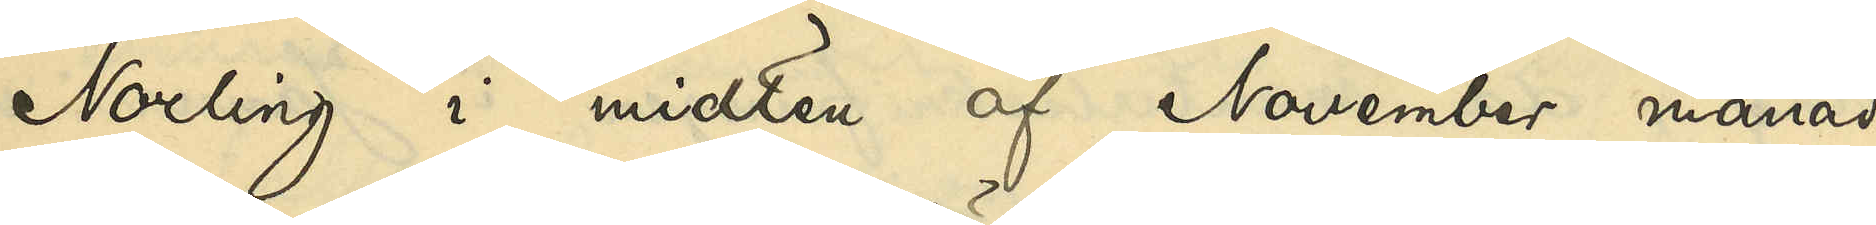Norling i midten af November månad
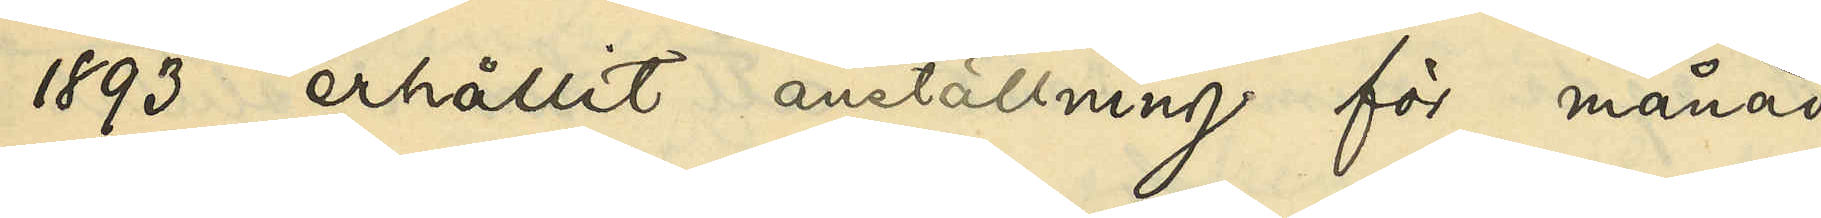1893 erhållit anställning för månad
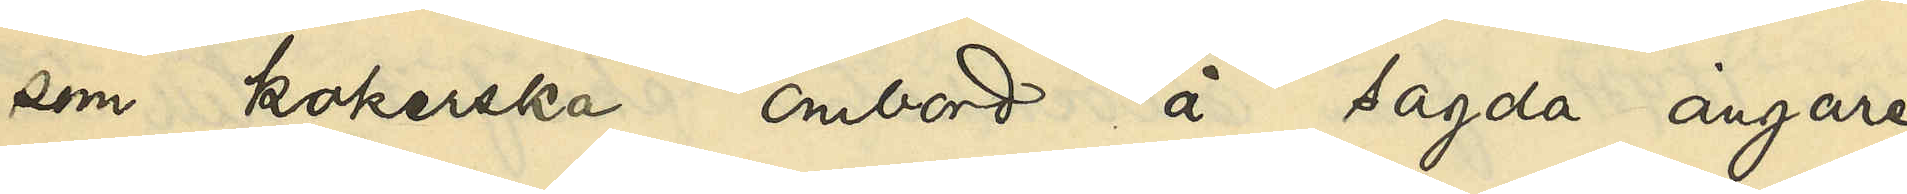som kokerska ombord å sagda ångare
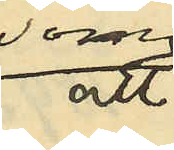som
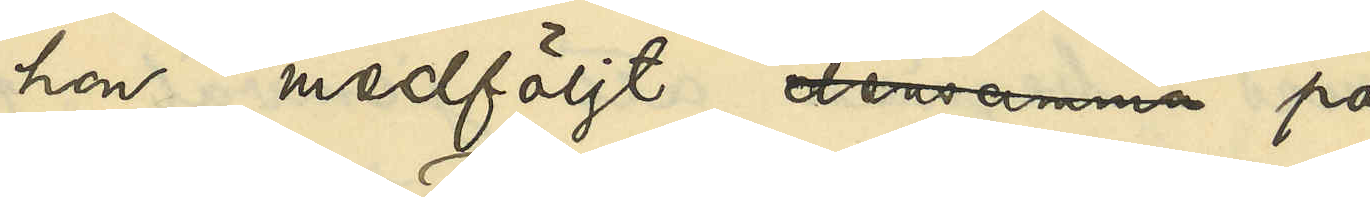hon medföljt densamma på
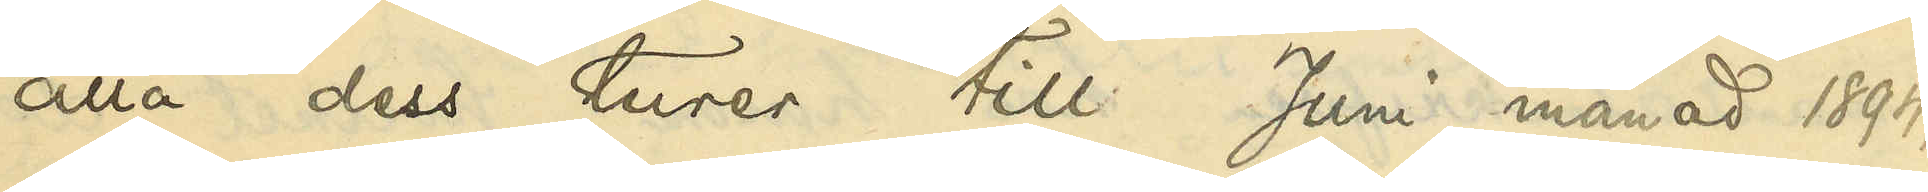alla dess turer till Juni månad 1894,
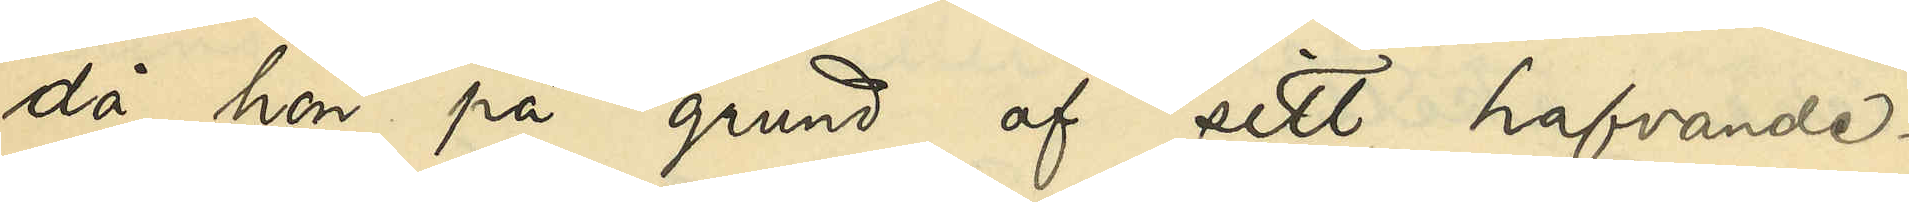då hon på grund af sitt hafvande¬
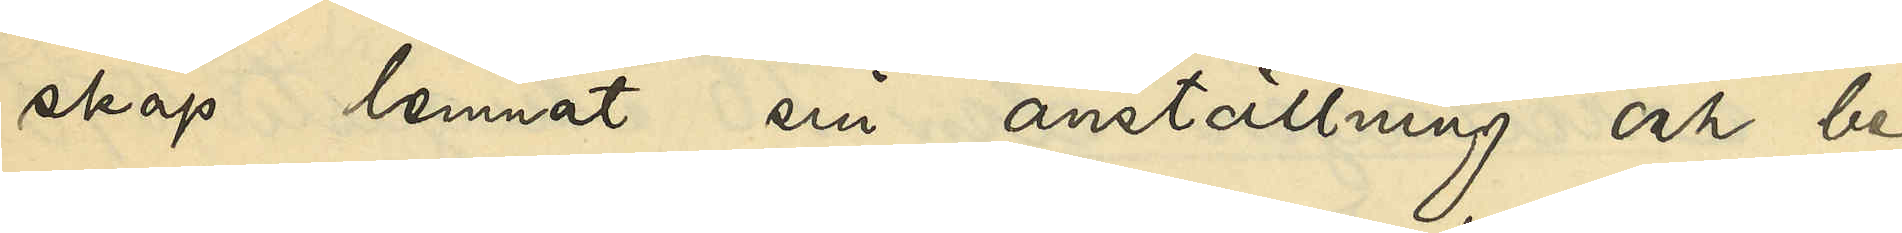skap lemnat sin anställning och be¬
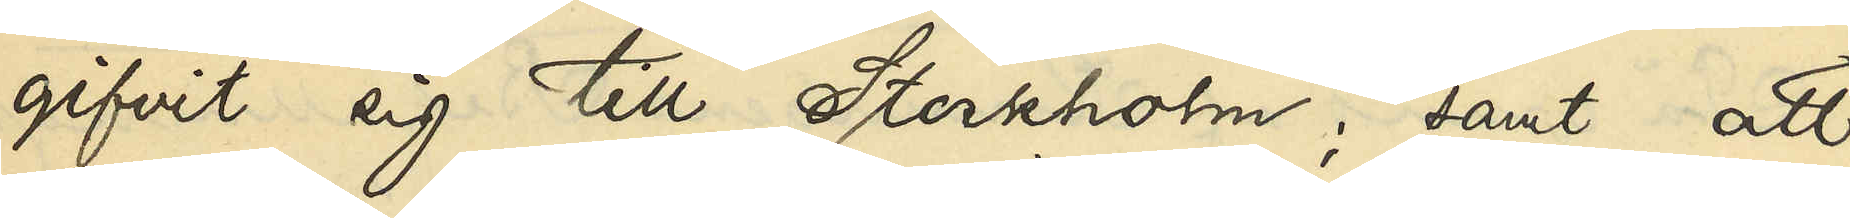gifvit sig till Stockholm; samt att
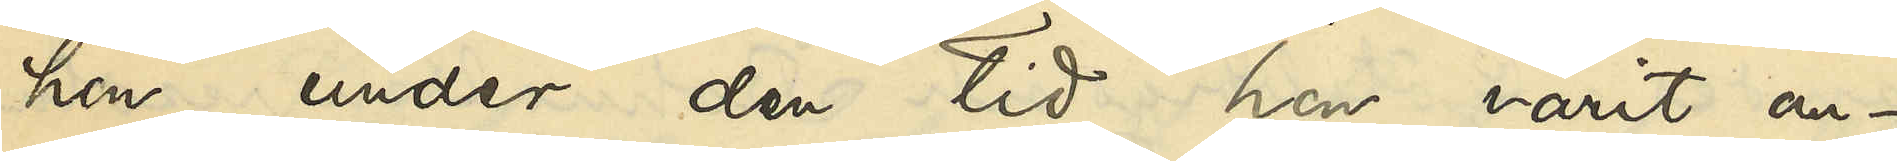hon under den tid hon varit an¬
